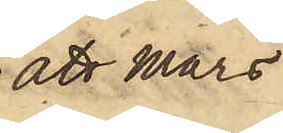att Mars
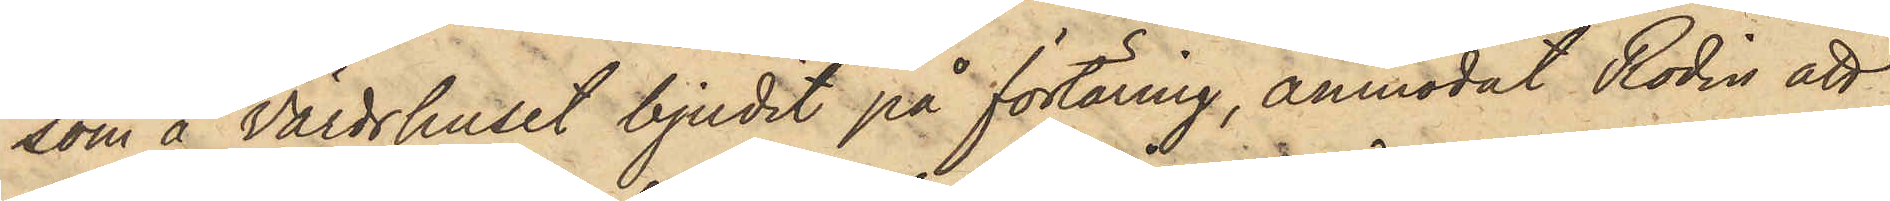som å Värdshuset bjudit på förtäring, anmodat Rodin att
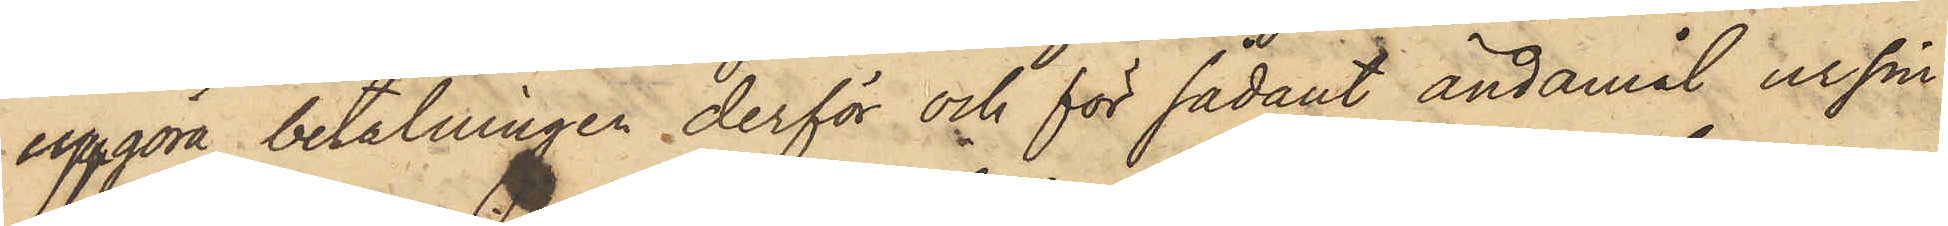uppgöra betalningen derför och för sådant ändamål ur sin
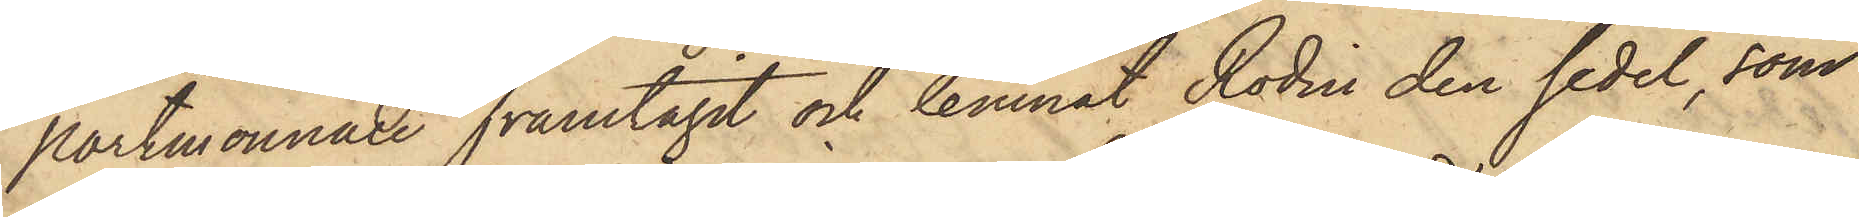portmonnaie framtagit och lemnat Rodin den sedel, som
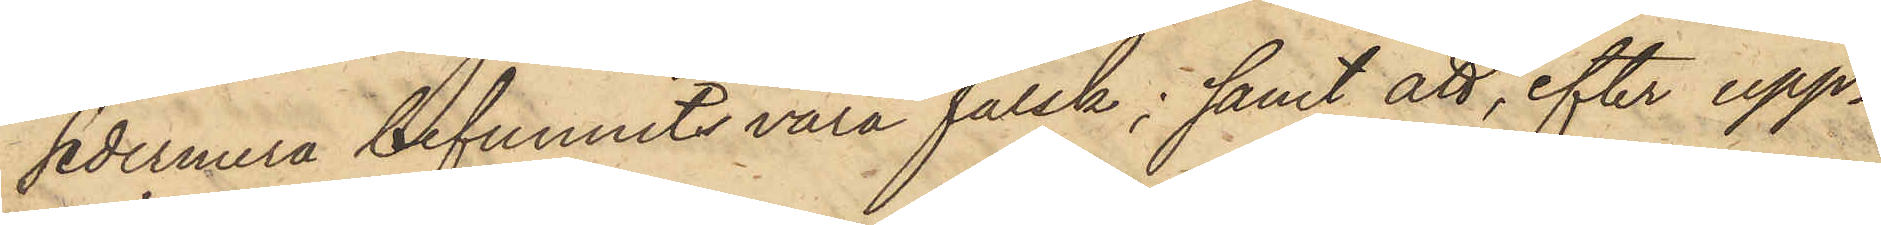sedermera befunnits vara falsk; samt att, efter upp¬
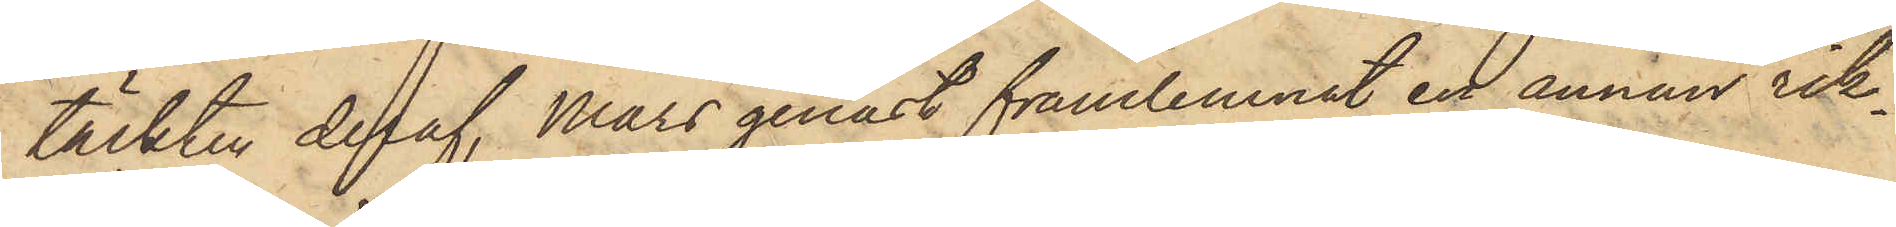täckten deraf, Mars genast framlemnat en annan rik¬
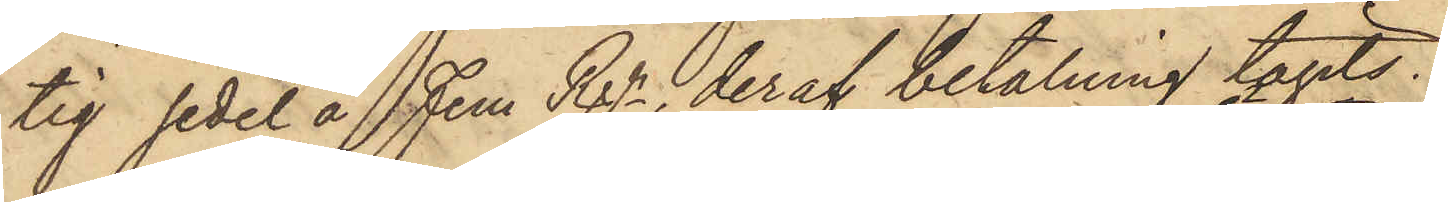tig sedel å Fem Rgr, deraf betalning tagits.
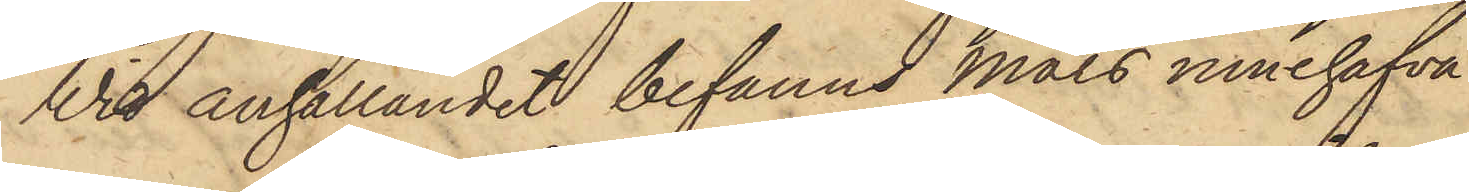Wid anhållandet befanns Måls innehafva
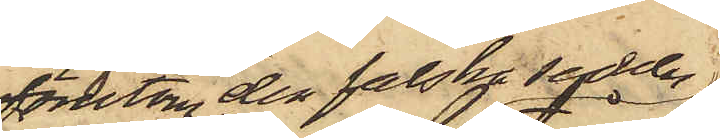förutom den falska sedeln
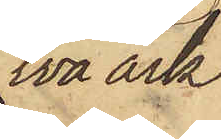två ark
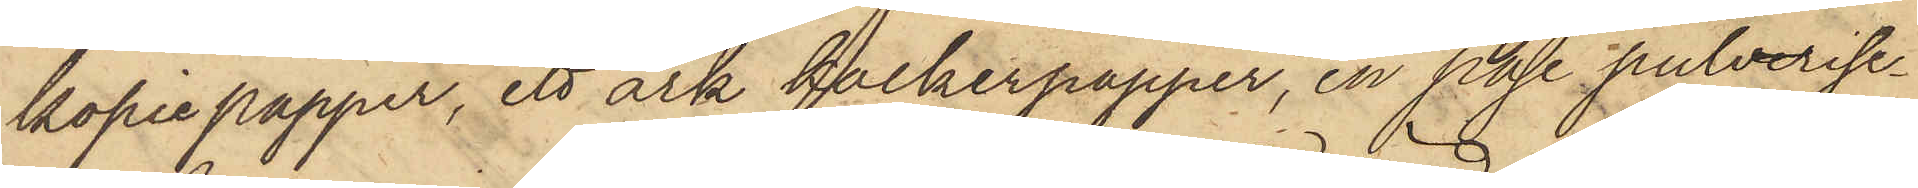kopiepapper, ett ark kalkerpapper, en påse pulveris¬
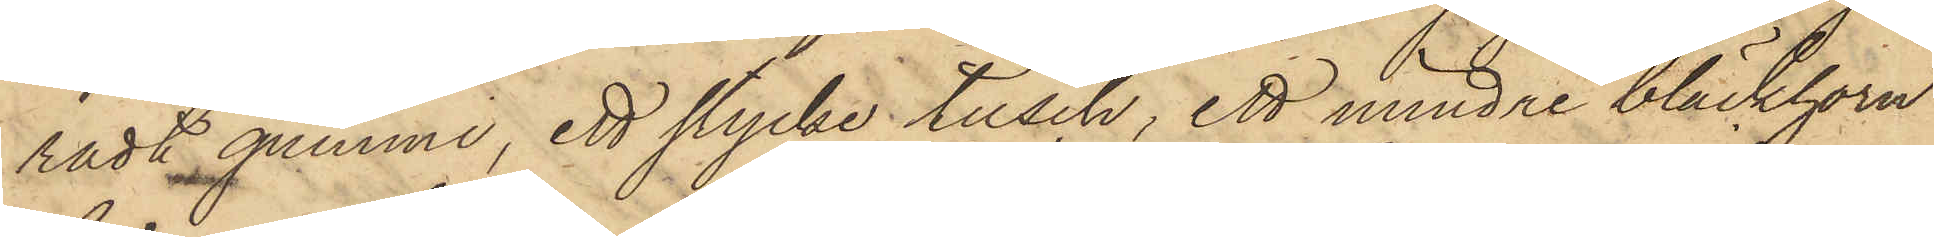radt gummi, ett stycke tusch, ett mindre bläckhorn
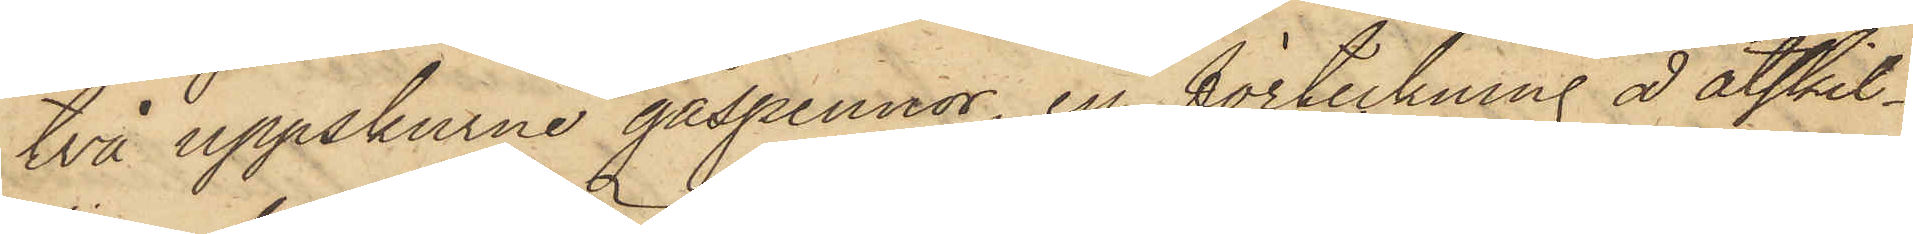två uppskurne gåspennor, en förteckning å åtskil¬
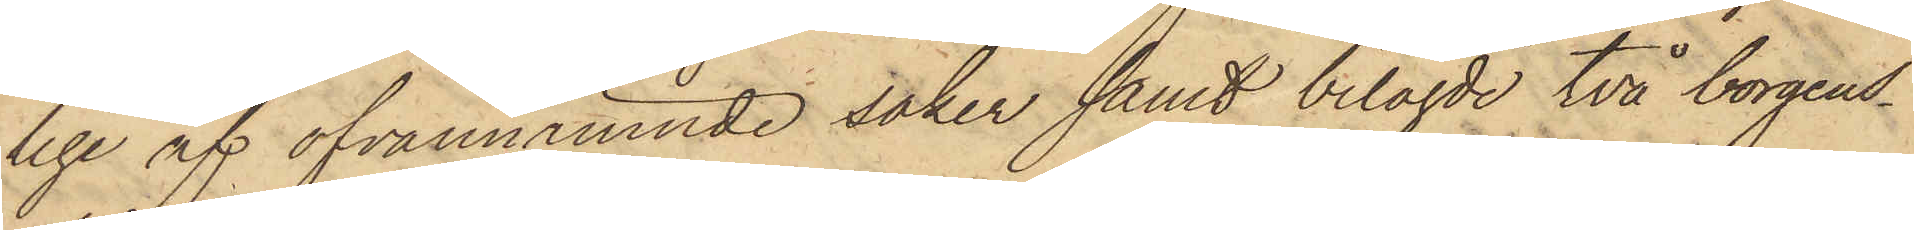lige af ofvannämnde saker samt bilagde två borgens¬
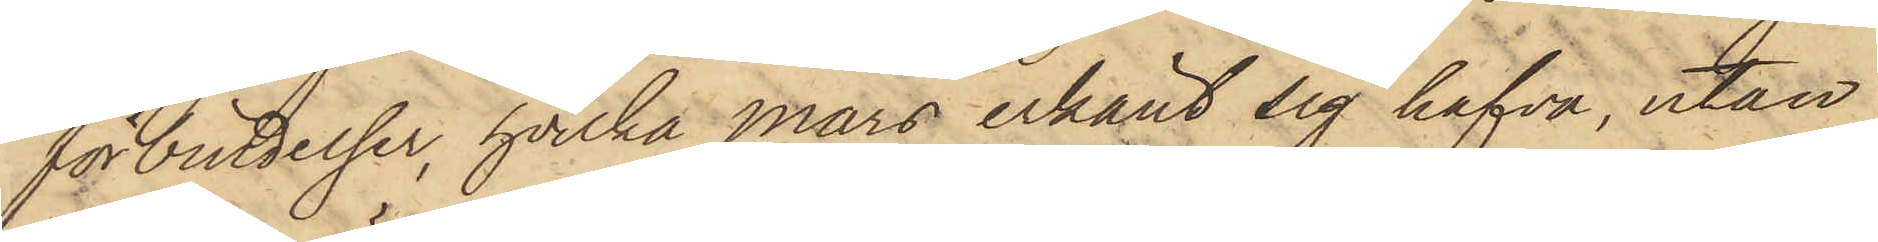förbindelser, hvilka Mars erkänt sig hafva, utan
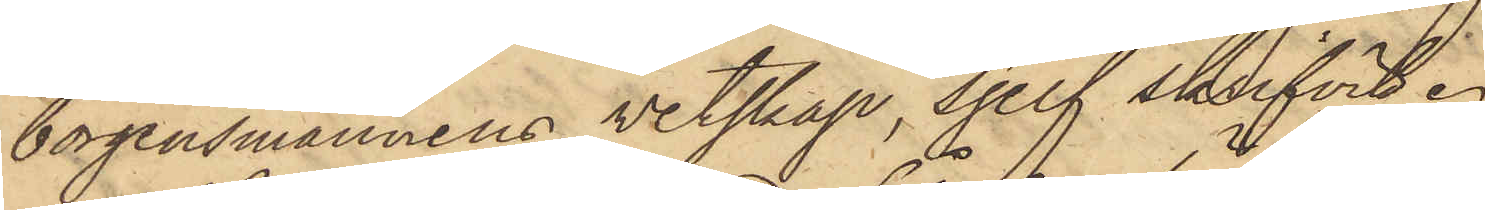borgensmännens vetskap, sjelf skrifvit.
